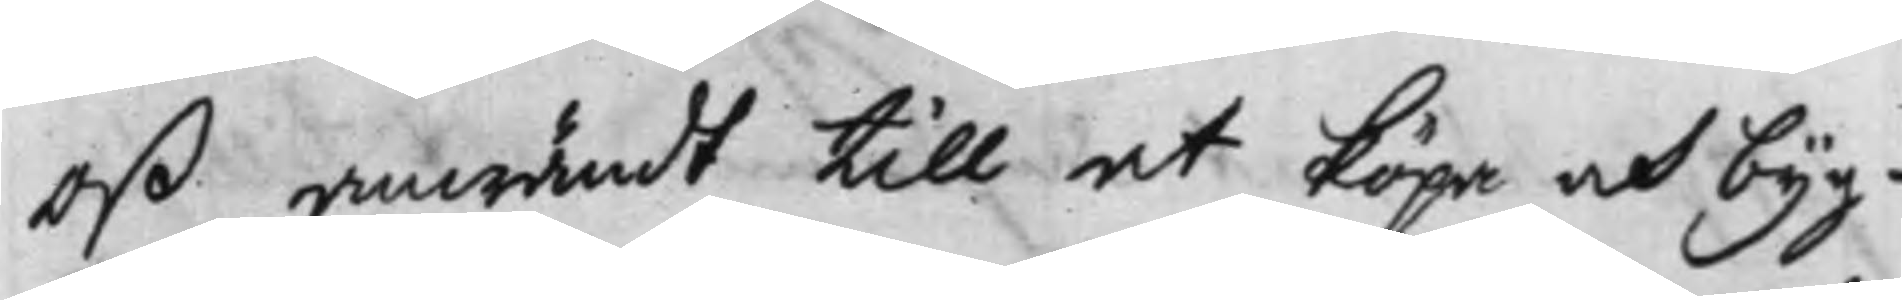oß anwändt till at köpa och byg¬
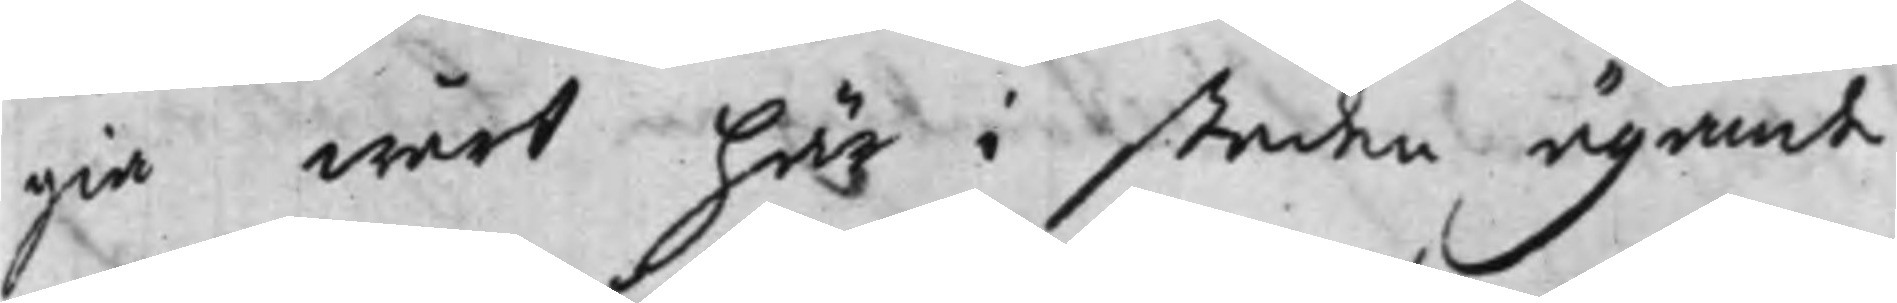gia wårt här i staden ägande
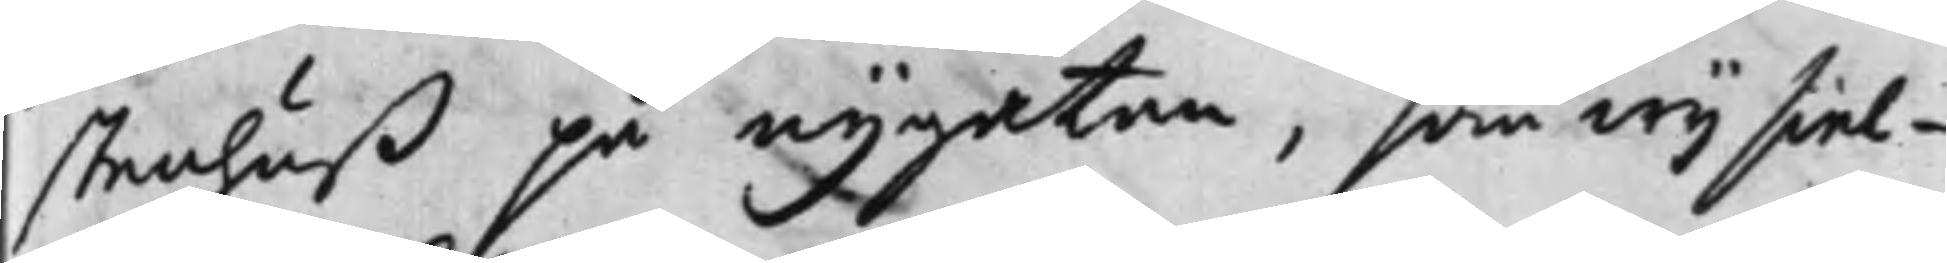stenhuß på nygatan, som wij siel¬
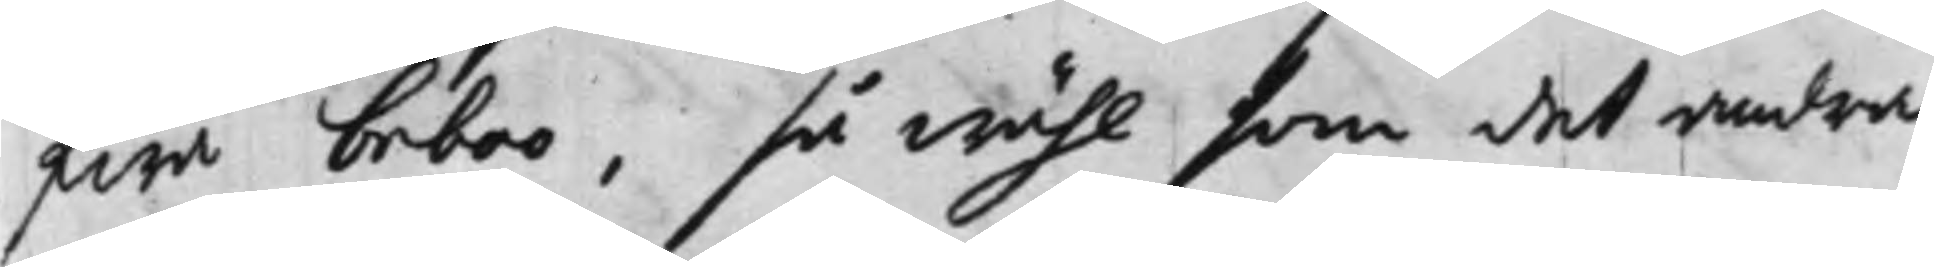fwa beboo, så wähl som det andra
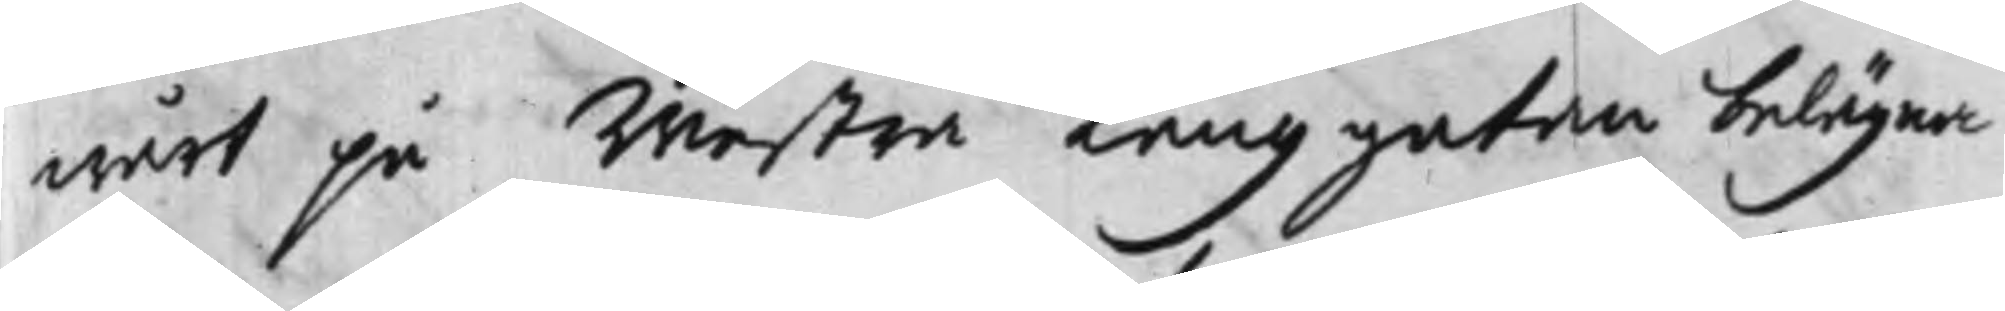wårt på Westra Långgatan belägna
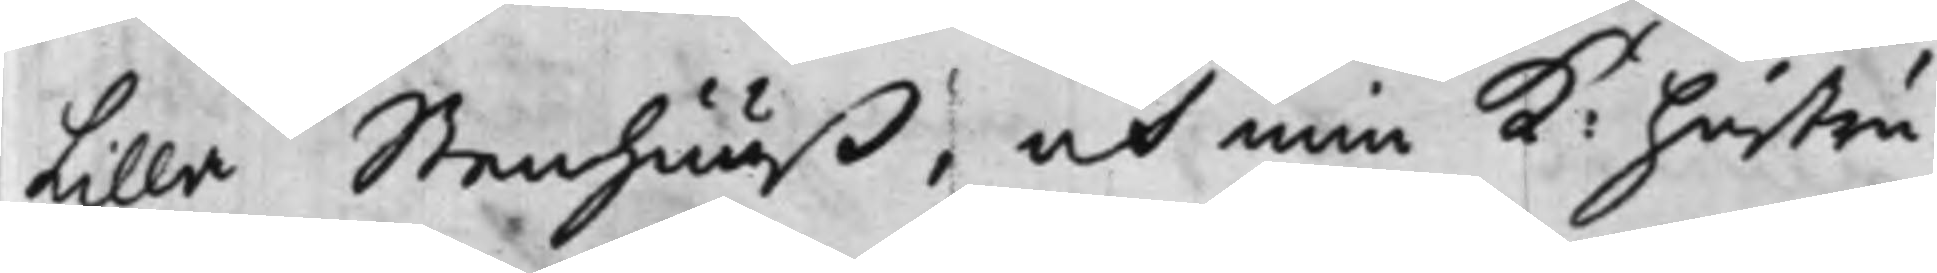Lilla Stenhuuß, och min K: hustru
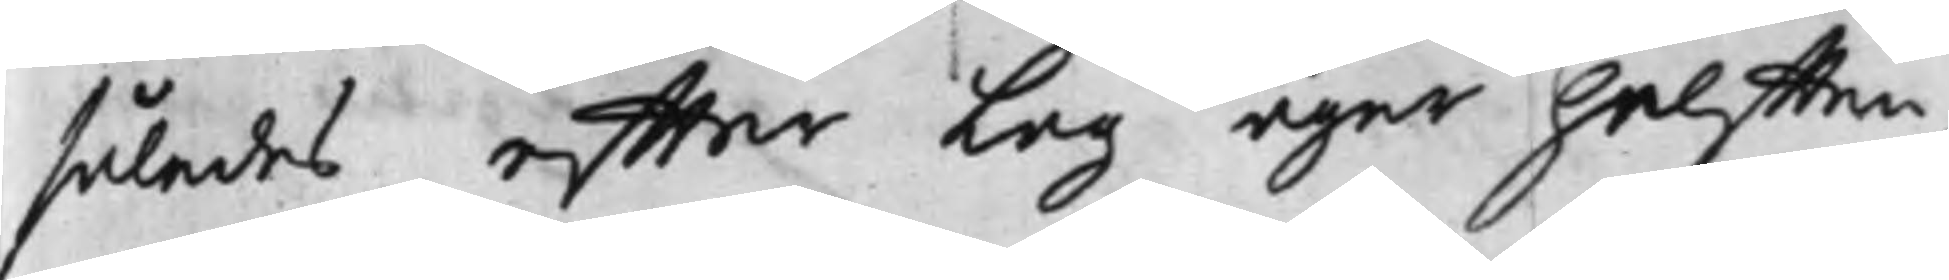således effter Lag äger helfften
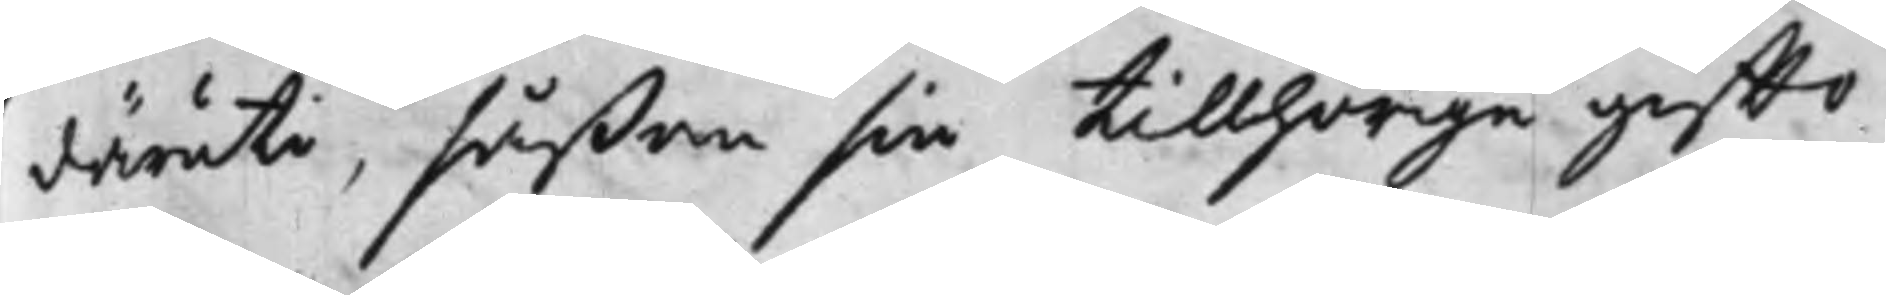däruti, såßom sin tillhörige giffto¬
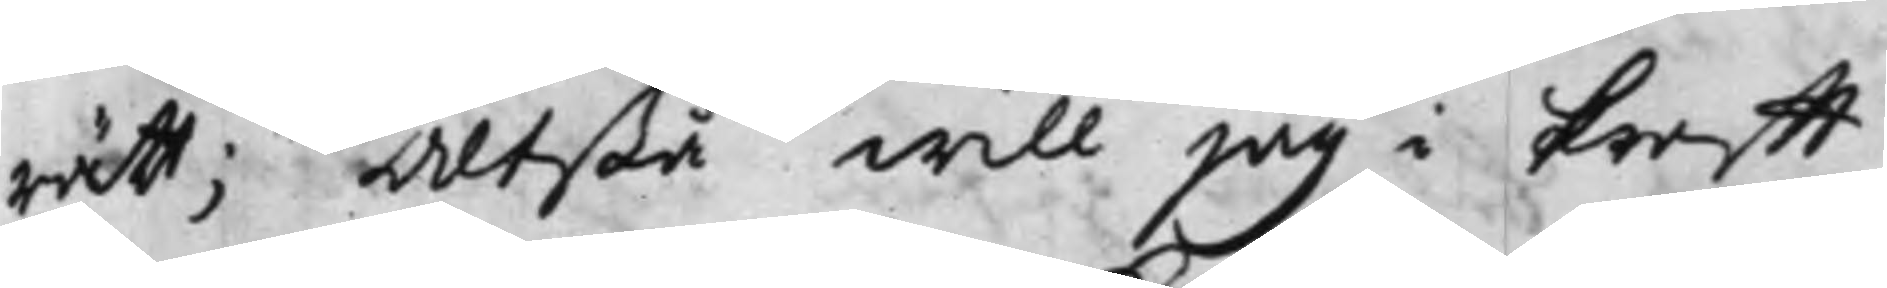rätt; Altßå will jag i krafft
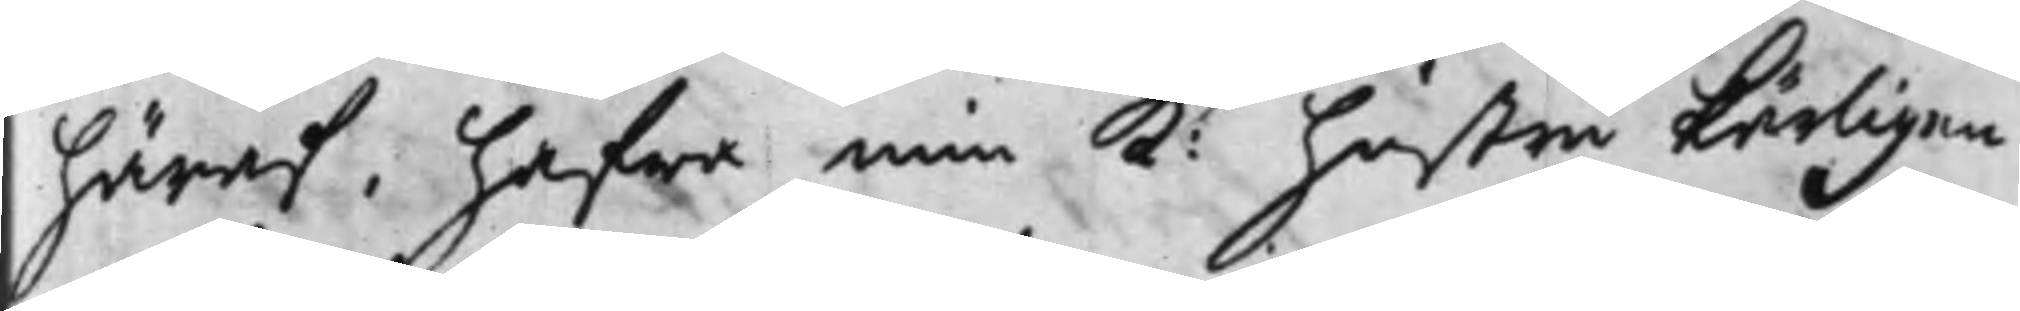häraf, hafwa min K: hustru kärligen
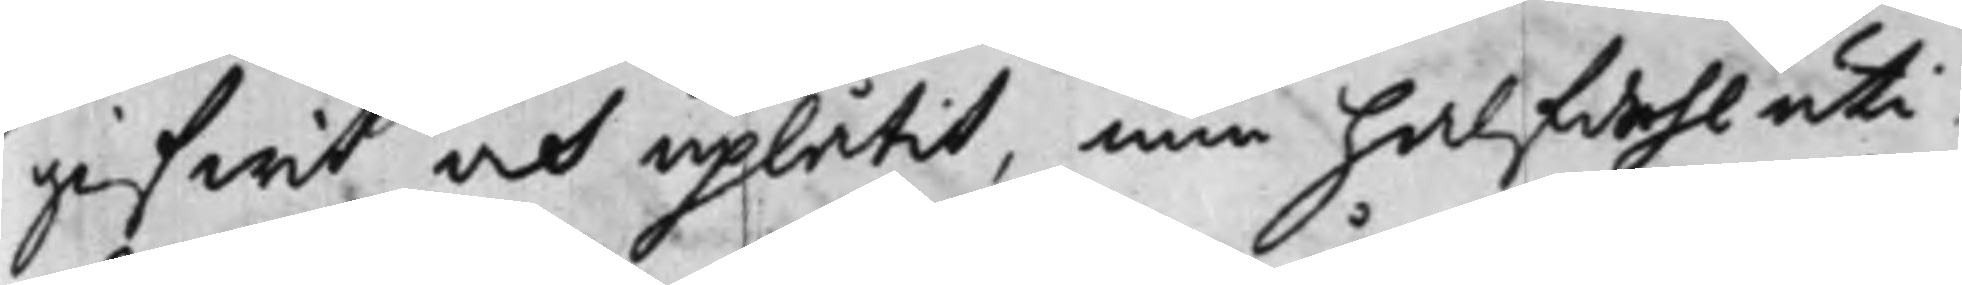gifwit och uplåtit, min halfdehl uti
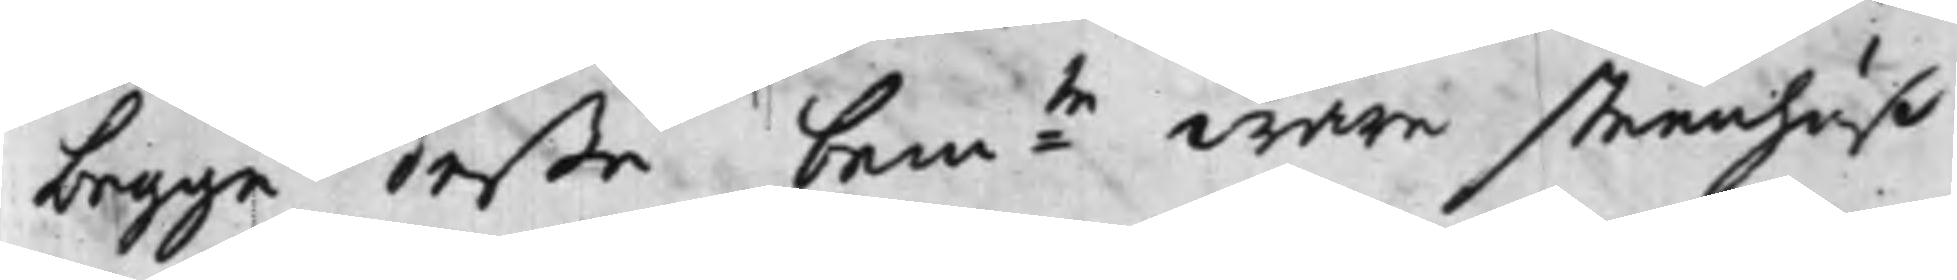begge deße bem:te wåre steenhuß
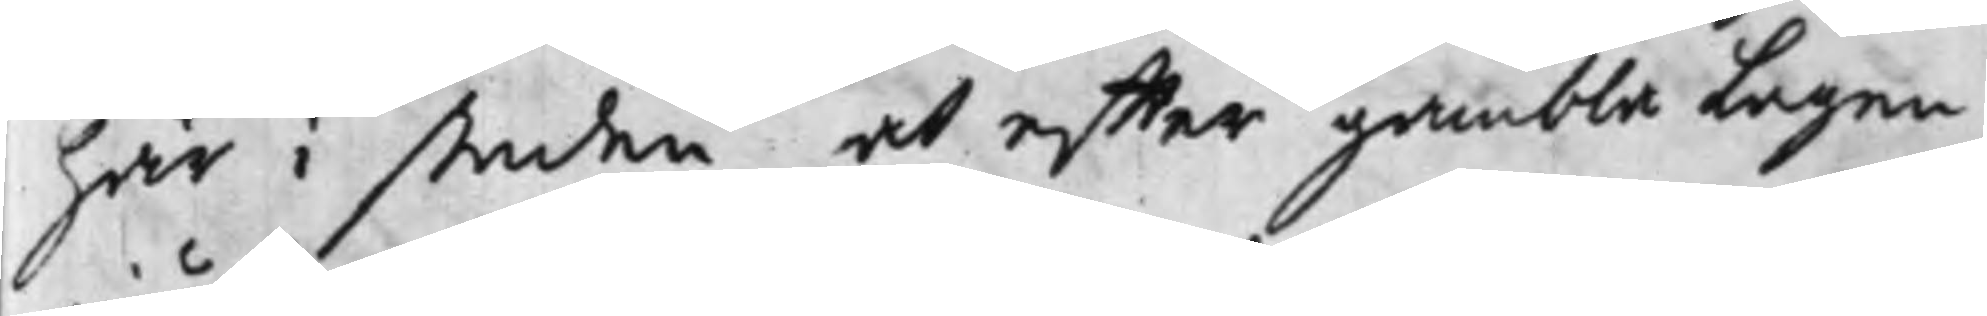här i staden, at effter gambla Lagen
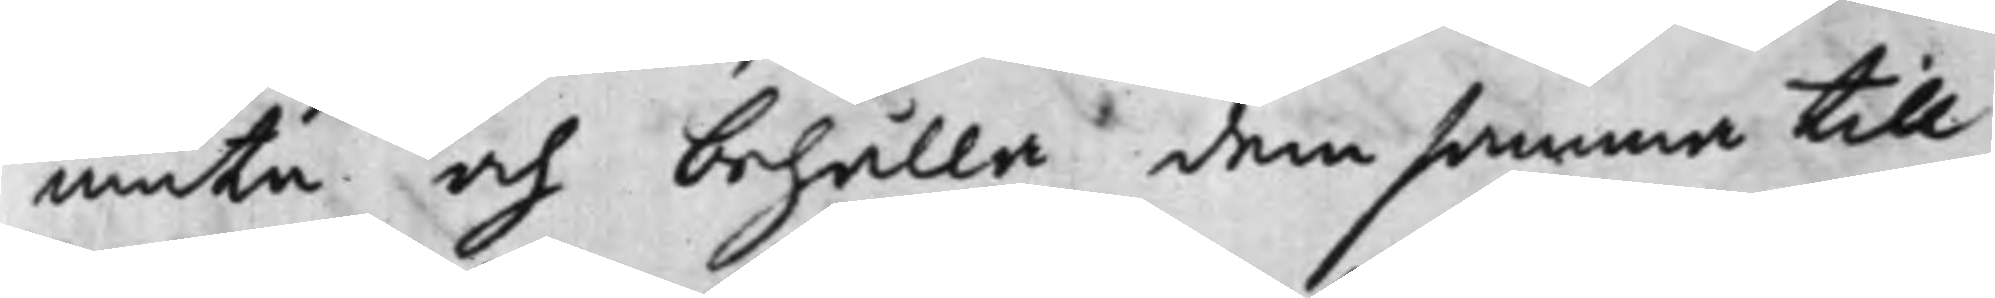niuta och behålla demsamma till
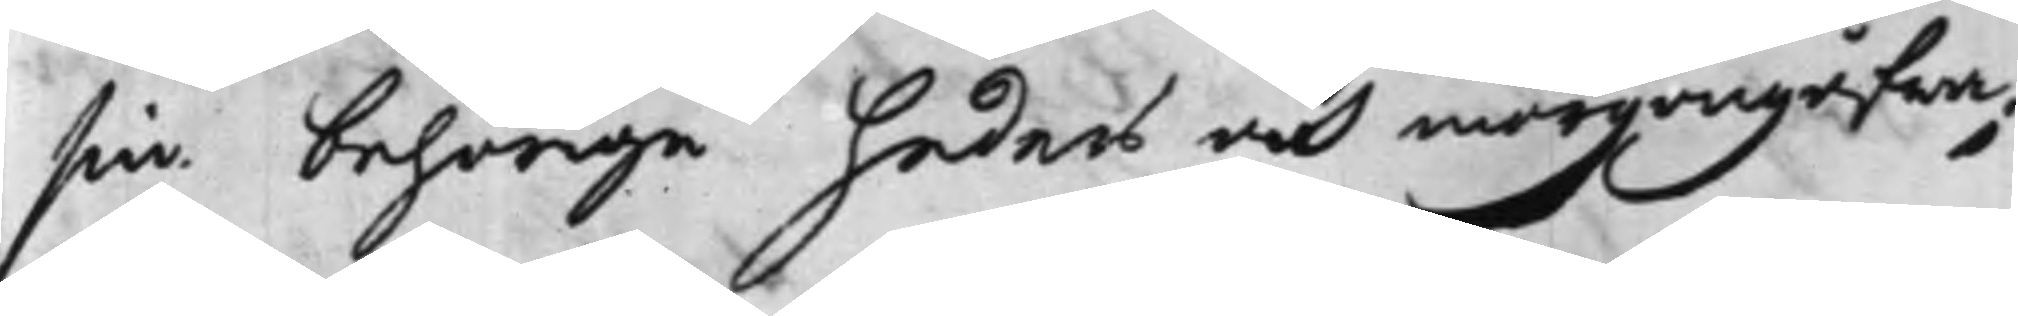sin behörige heders och morgongåfwa;
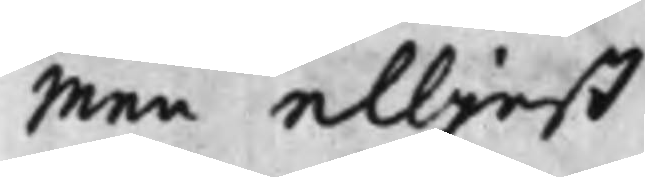Men elljest
